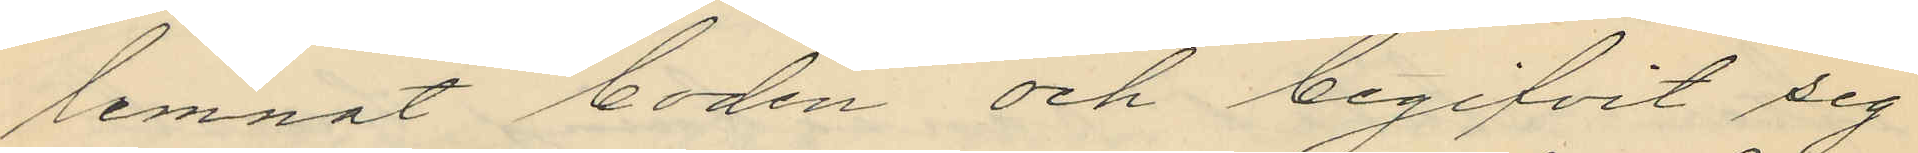lemnat boden och begifvit sig
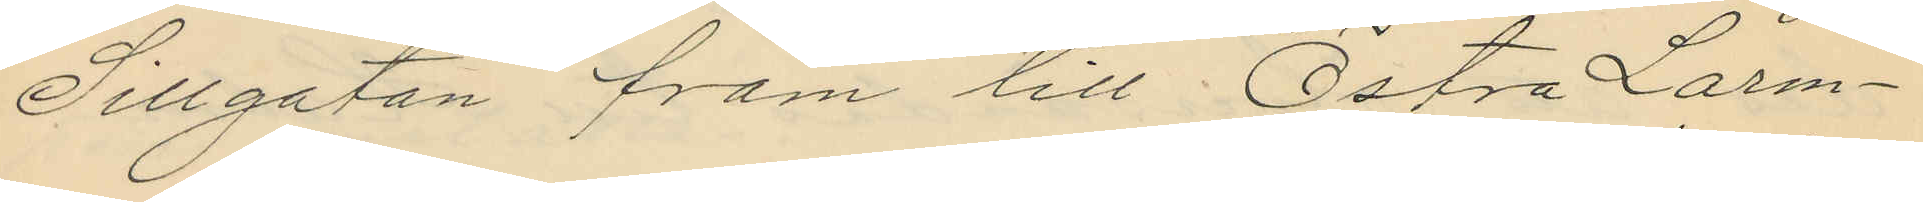Sillgatan fram till Östra Larm¬
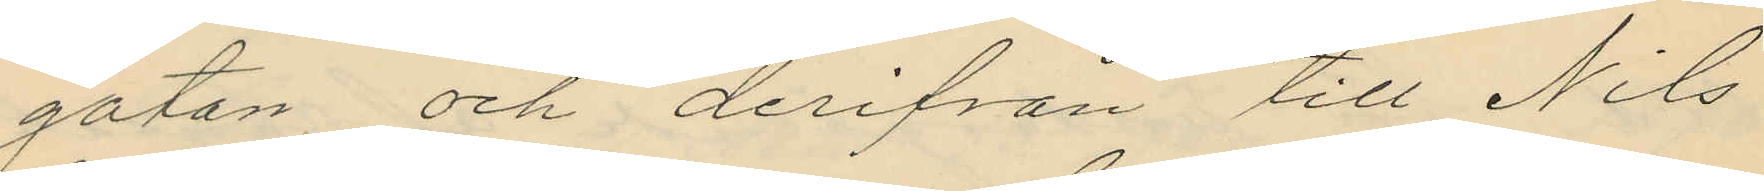gatan och derifrån till Nils
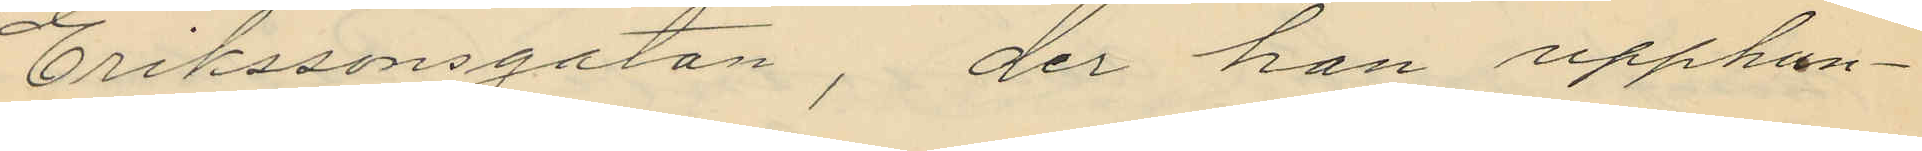Erikssonsgatan, der han upphun¬
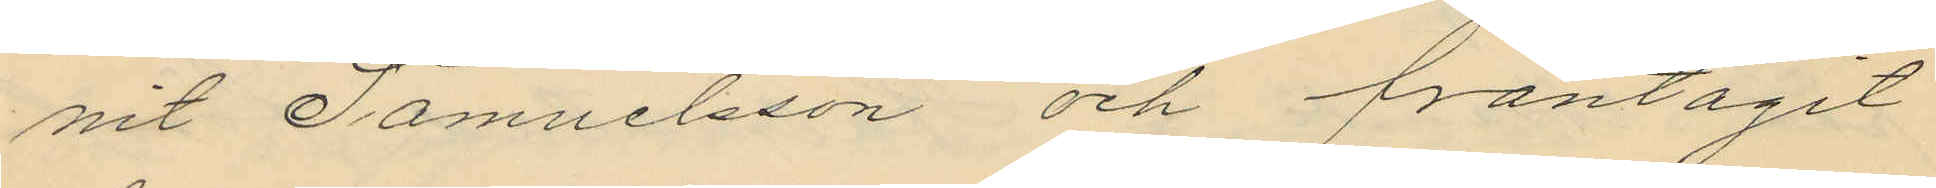nit Samuelsson och fråntågit
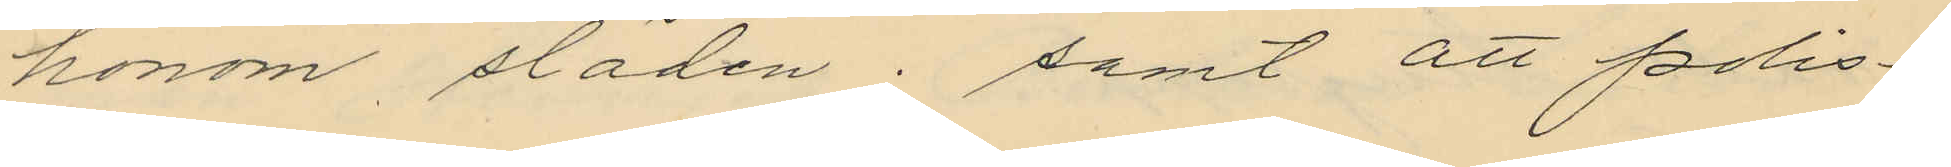honom släden; samt att polis¬
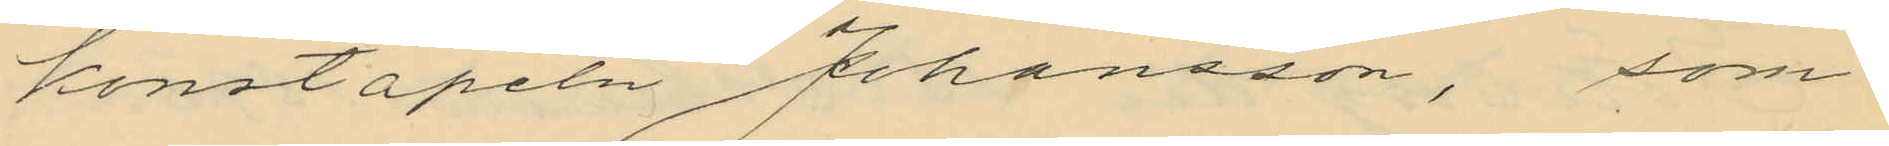konstapeln Johansson, som
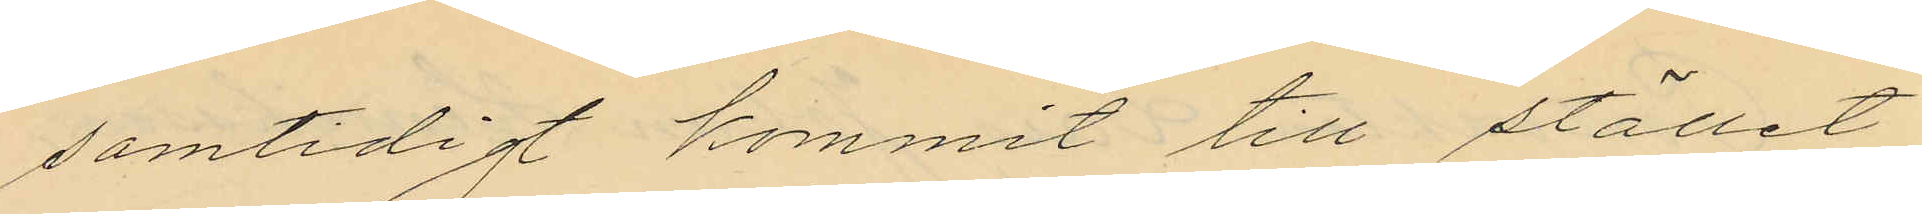samtidigt kommit till stället,
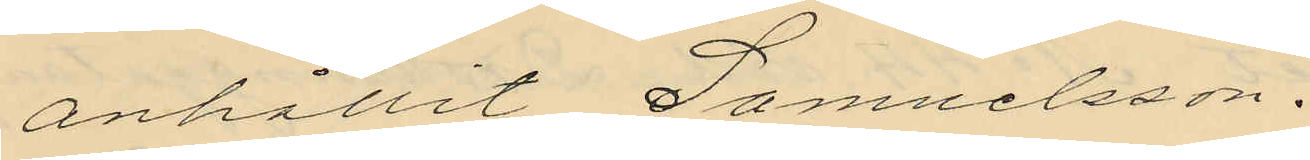anhållit Samuelsson.
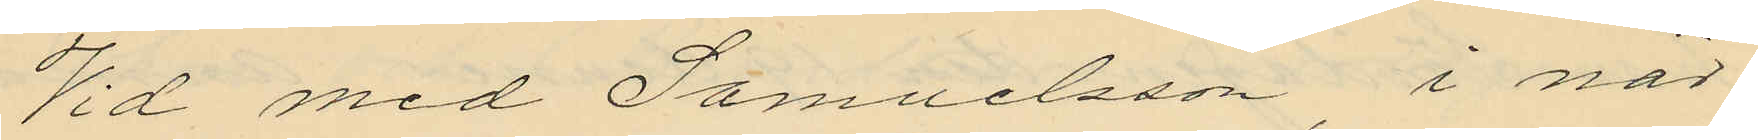Vid med Samuelsson, i när¬
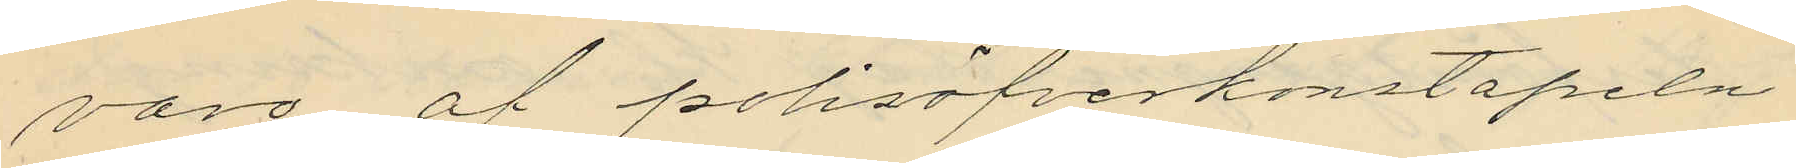varo af polisöfverkonstapeln
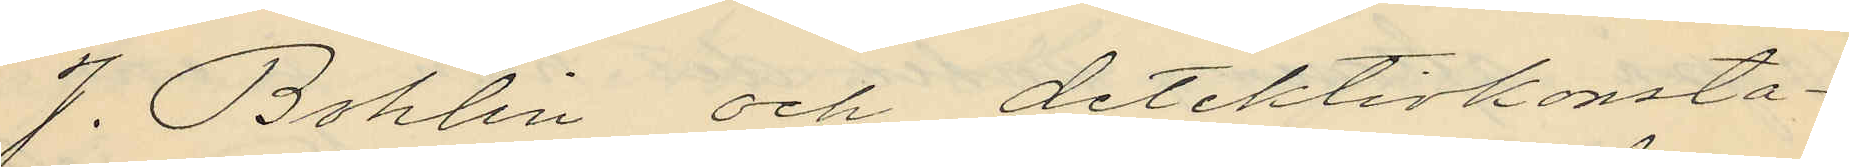J. Bohlin och detektivkonsta¬
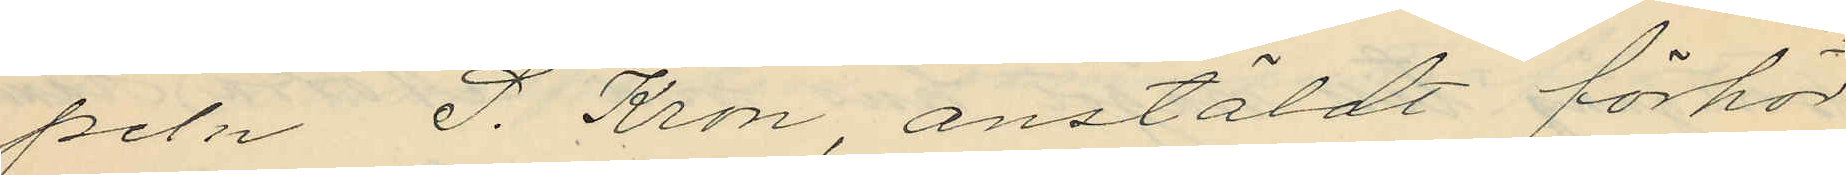peln S. Kron, anstäldt förhör
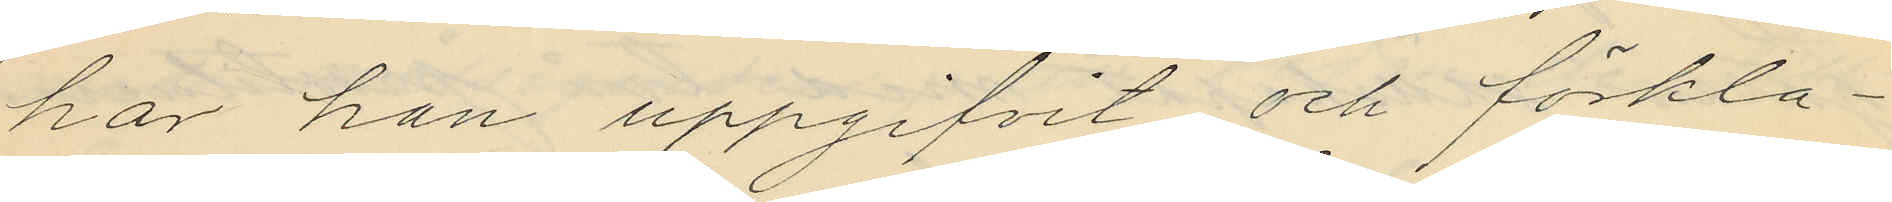har han uppgifvit och förkla¬
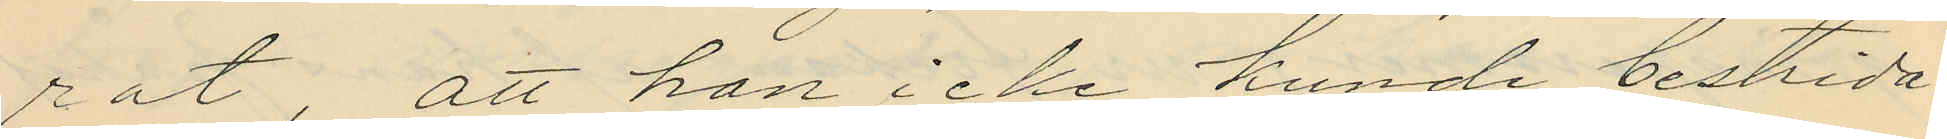rat, att han icke kunde bestrida
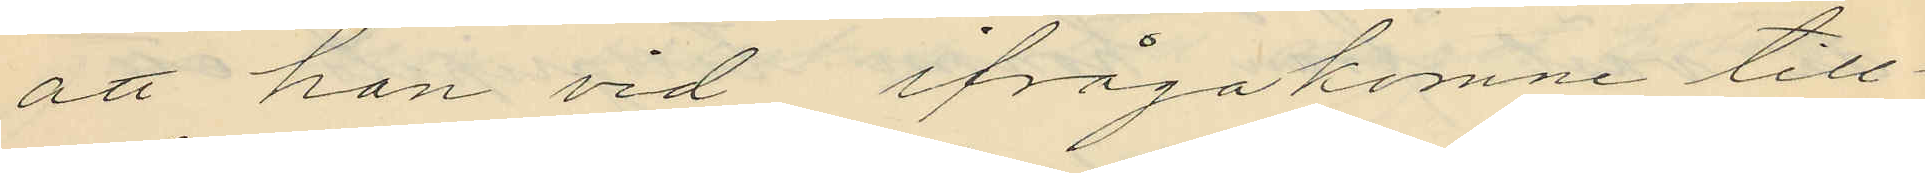att han vid ifrågakomne till¬
